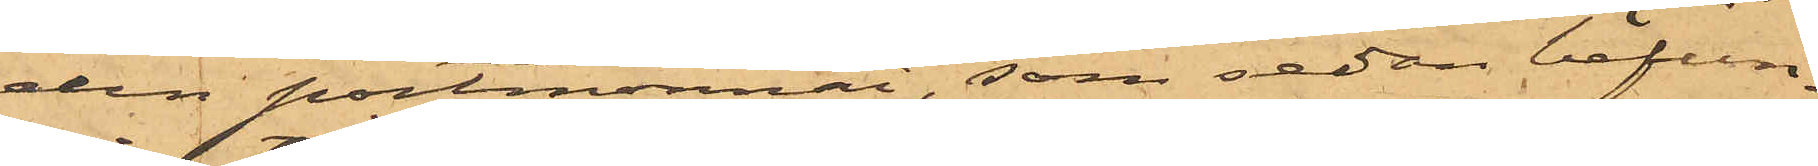den portmonnai, som sedan befun¬
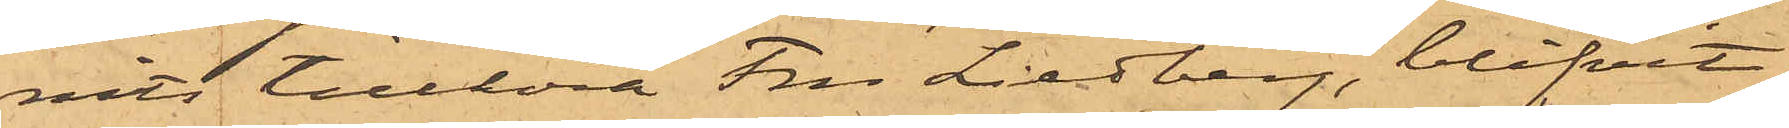nits tillhöra Fru Liedberg, blifvit
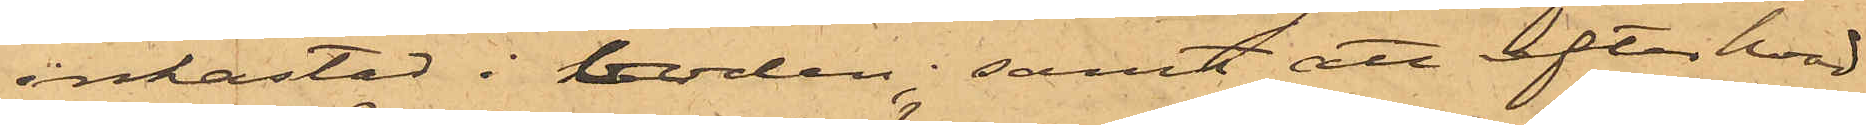inkastad i boden; samt att efter hvad
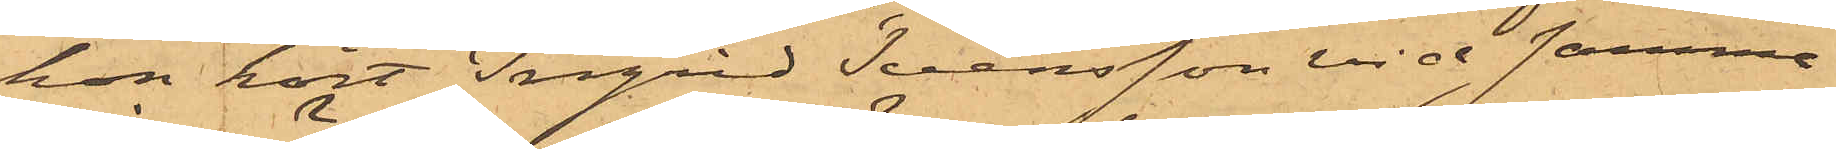hon hört Ingrid Svensson vid samma
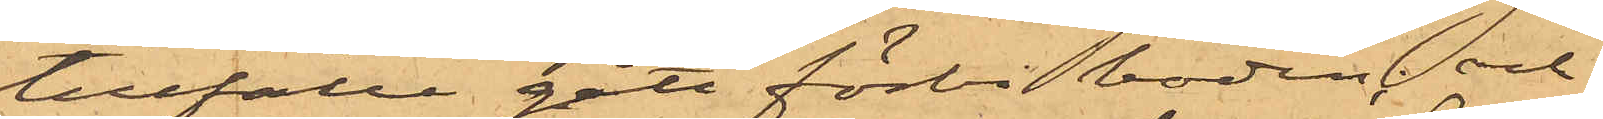tillfälle gått förbi boden; och
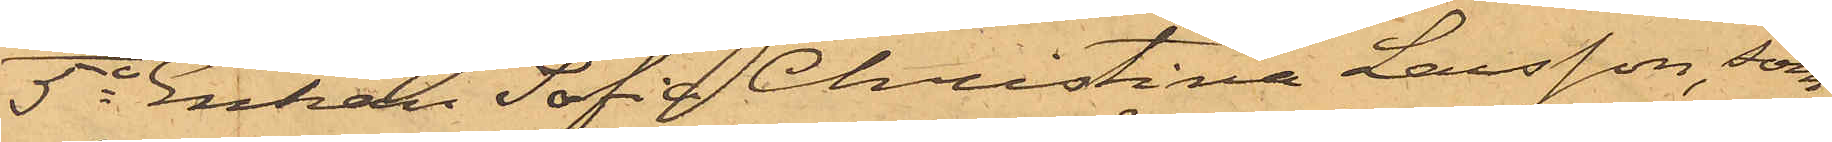5o Enkan Sofia Christina Larsson, som
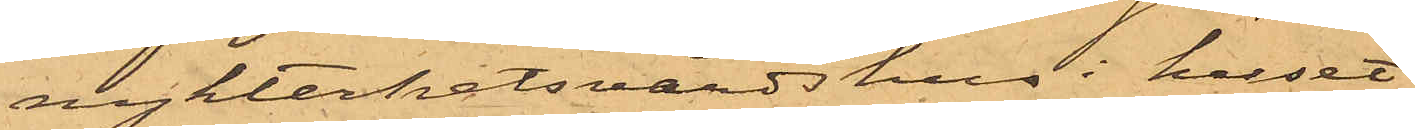nykterhetsvärdshus i huset
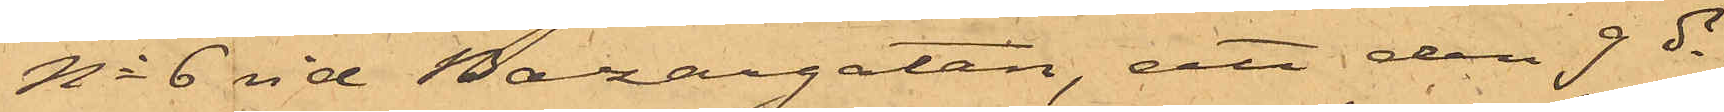No 6 vid Bazargatan, att den 9 ds
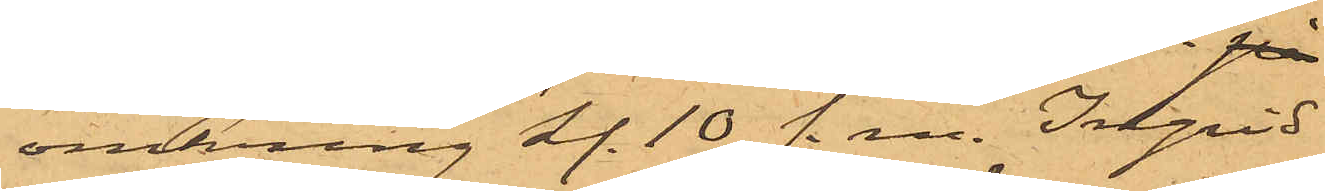omkring kl. 10 f. m. Ingrid
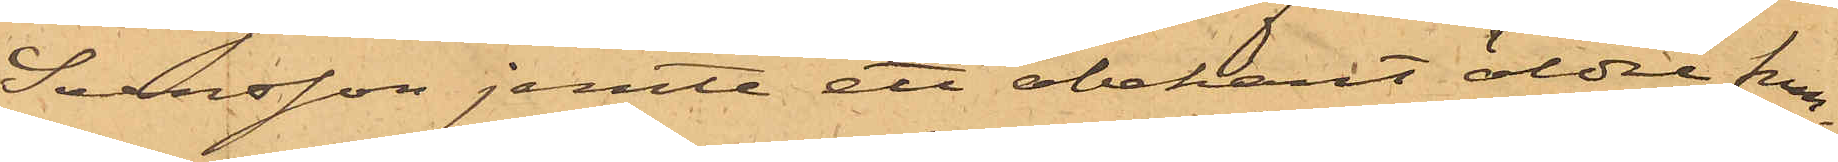Svensson jemte ett obekant äldre frun¬
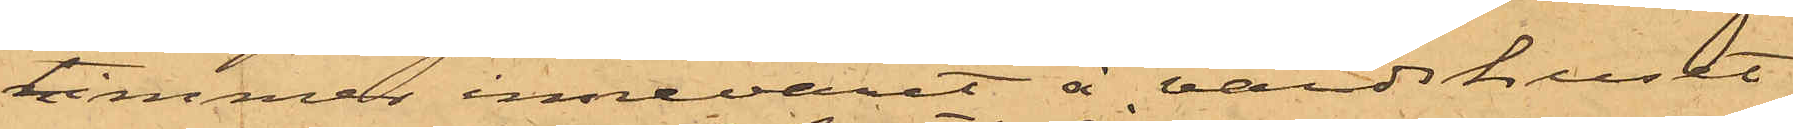timmer innevarit å värdshuset
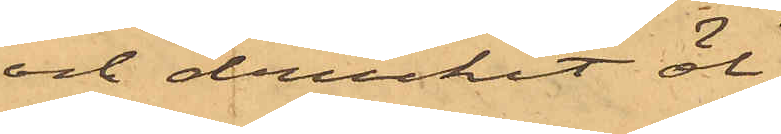och druckit öl;
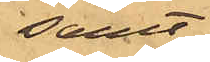samt
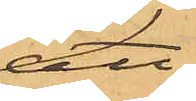att
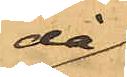då
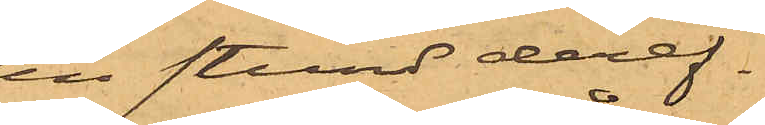en stund deref¬
